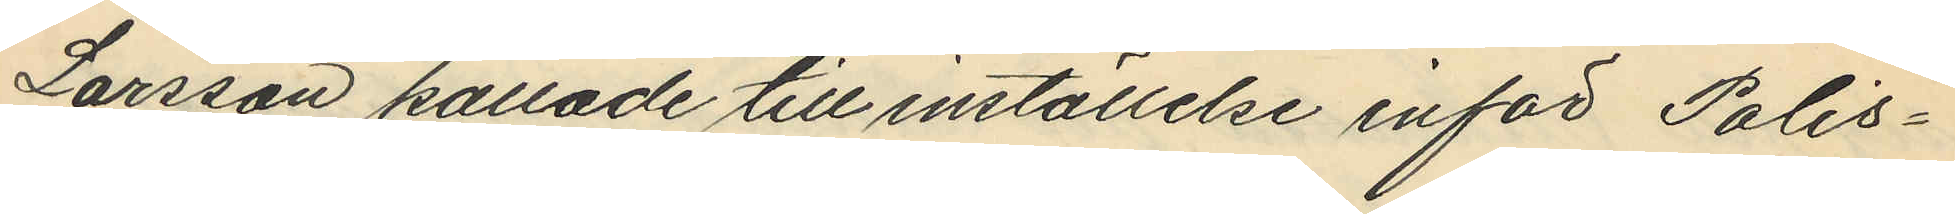Larsson kallade till inställelse inför Polis¬
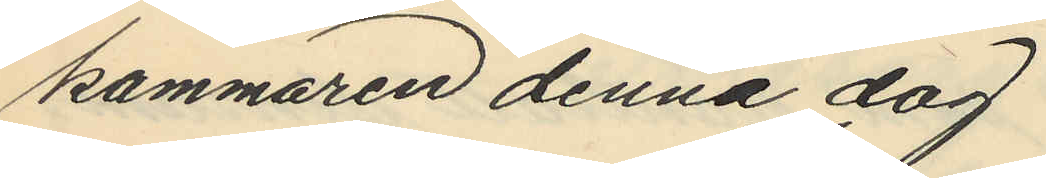kammaren denna dag.
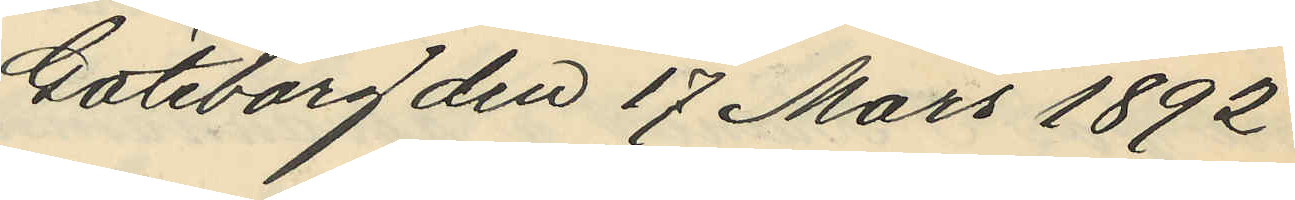Göteborg den 17 Mars 1892
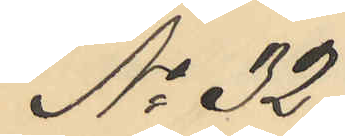No 32.
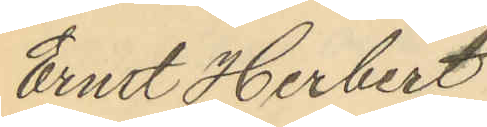Ernst Herbert
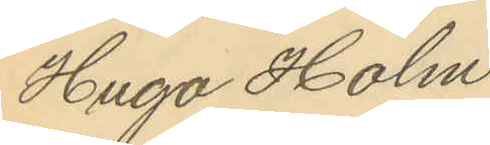Hugo Holm¬
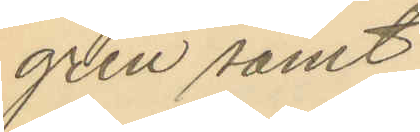gren samt
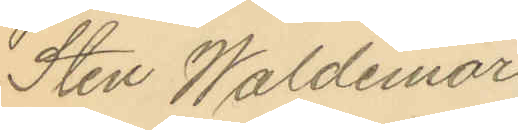Sten Waldemar
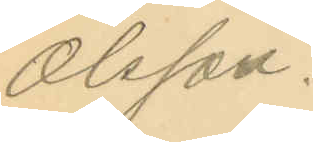Olsson.
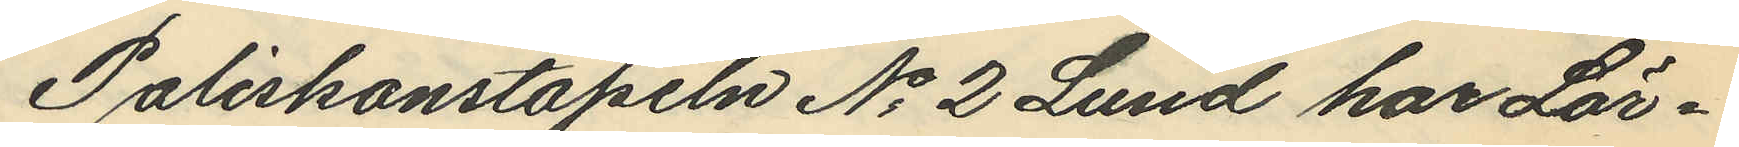Poliskonstapeln No 2 Lund har Lör¬
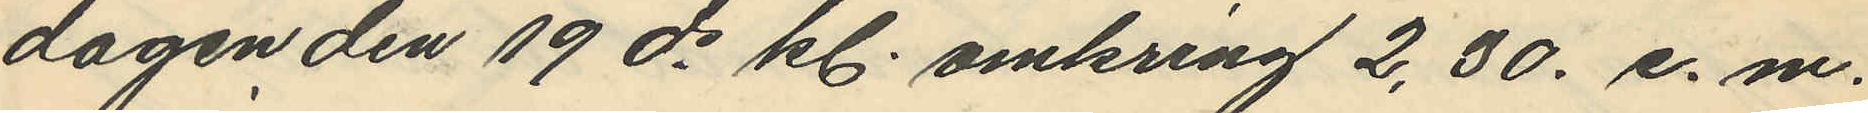dagen den 19 ds kl. omkring 2,30 e. m.
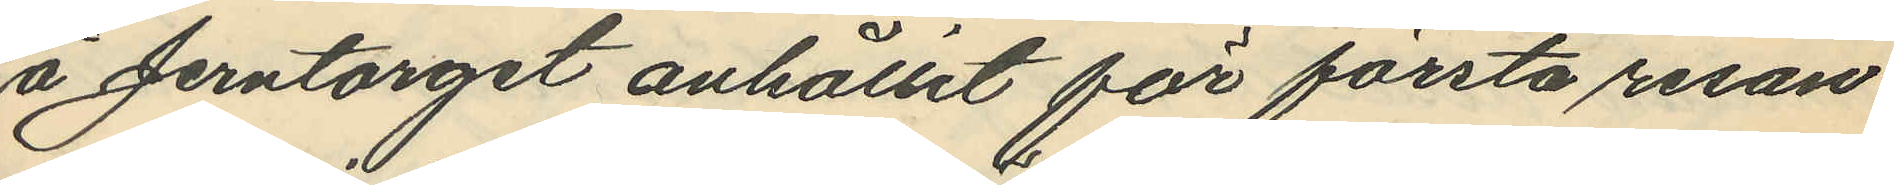å Jerntorget anhållit för första resan
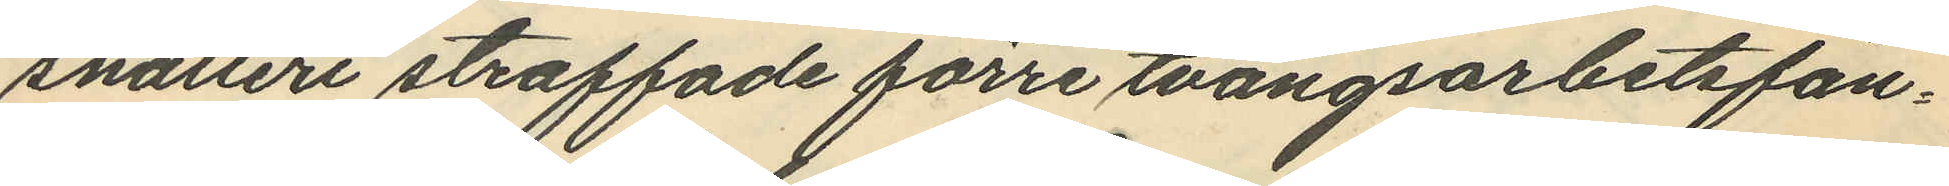snatteri straffade förre tvångsarbetsfån¬
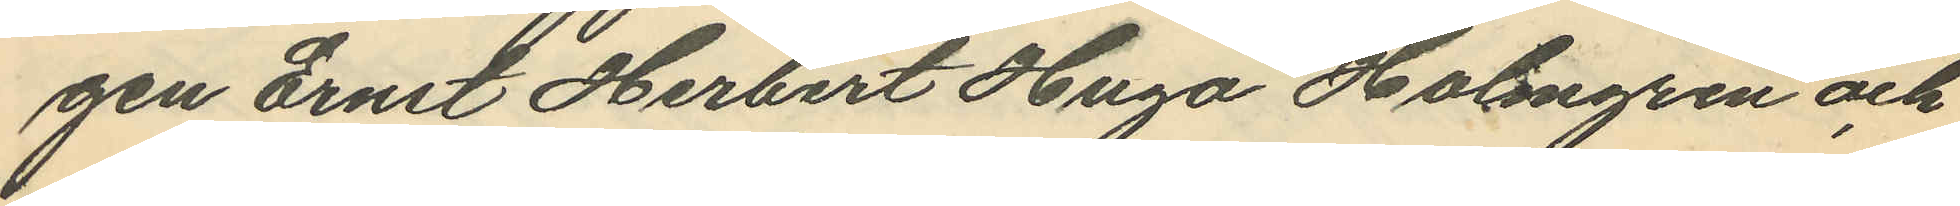gen Ernst Herbert Hugo Holmgren och
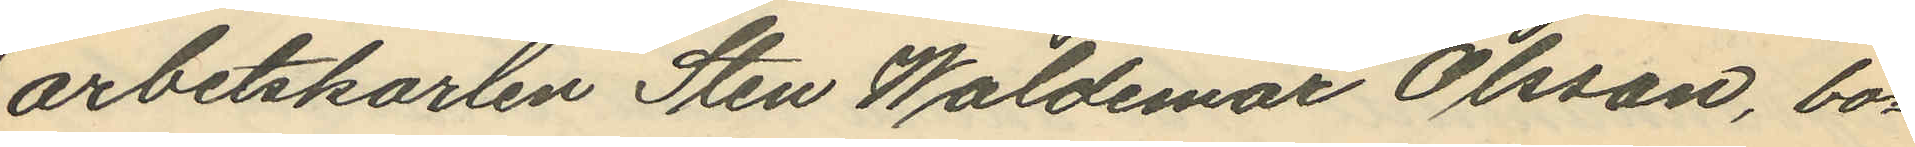arbetskarlen Sten Waldemar Olsson, bo¬
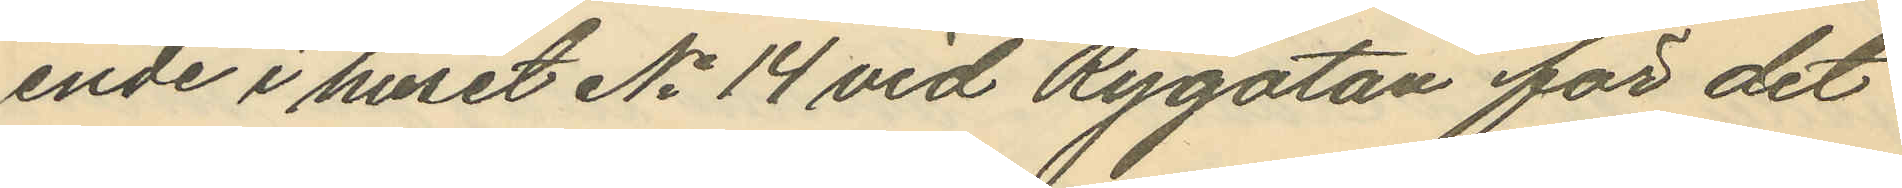ende i huset No 14 vid Rygatan för det
